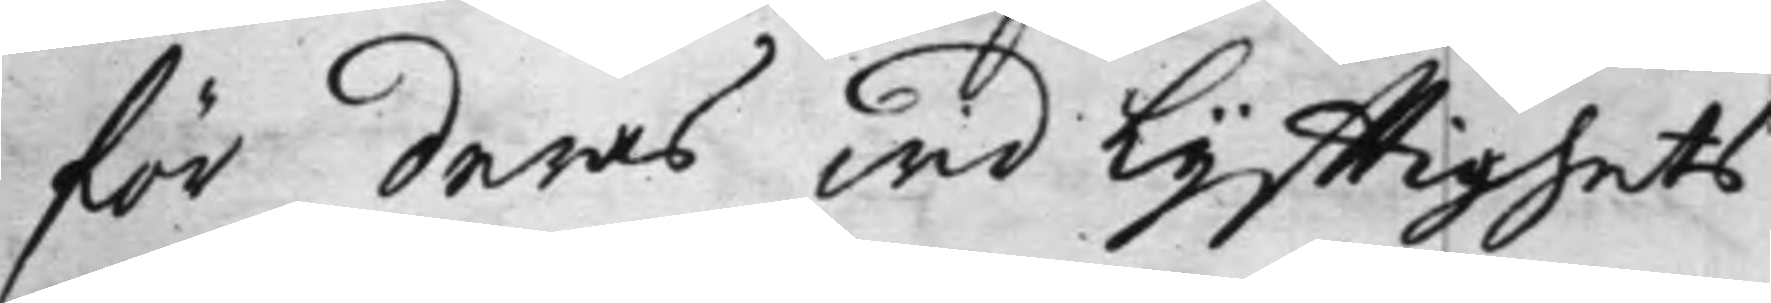för deras wid Lyfftighets
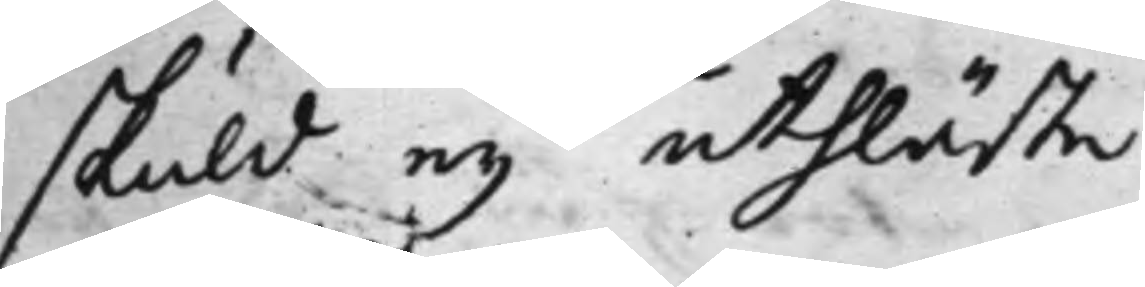skuld ey uthläste.
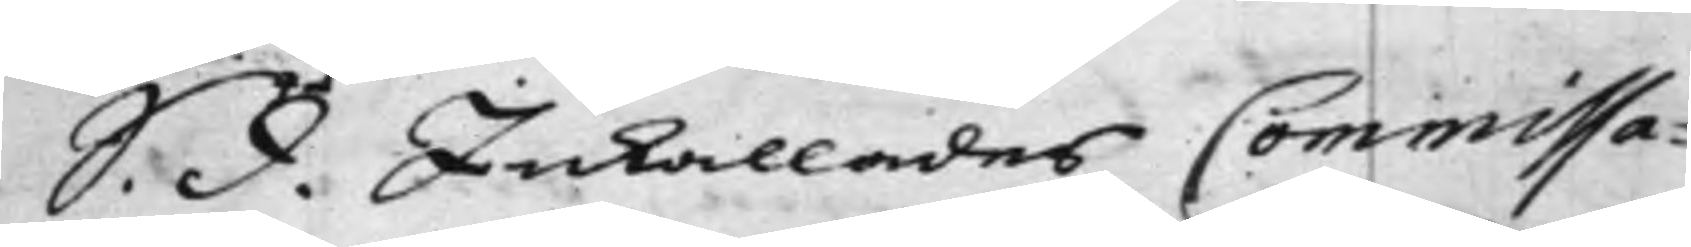S. d. Inkallades Commissa¬
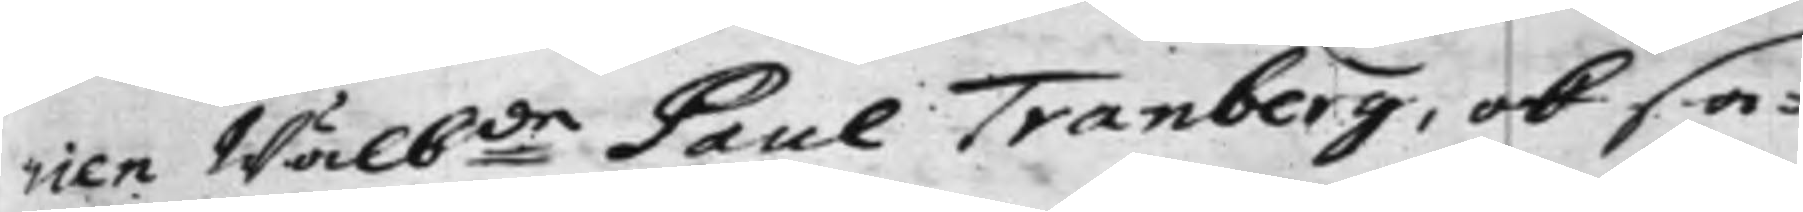rien Wälb:de Paul Tranberg, och sa¬
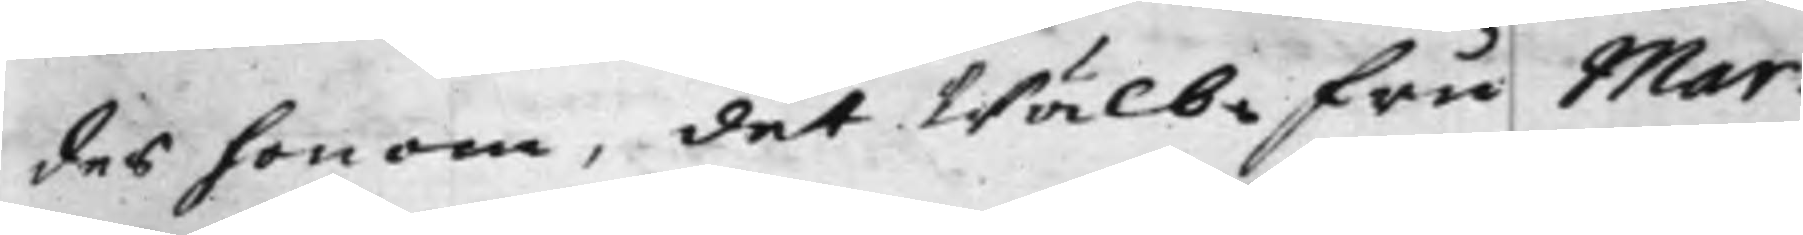des honom, det Wälb: Fru Mar¬
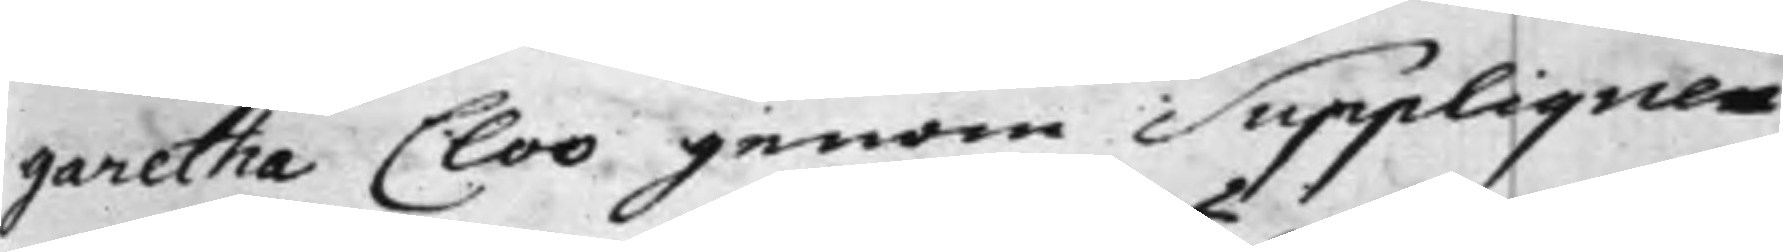garetha Cloo genom Suppliquen
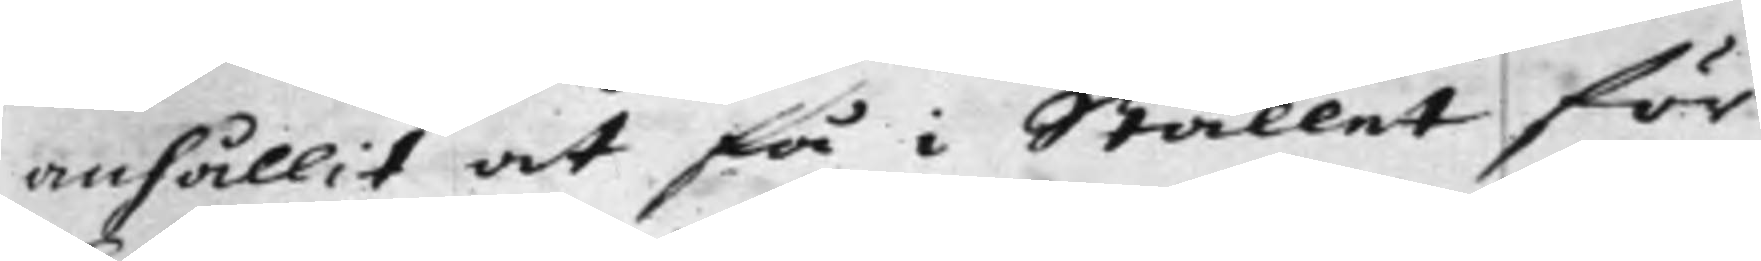anhållit at få i Stället för
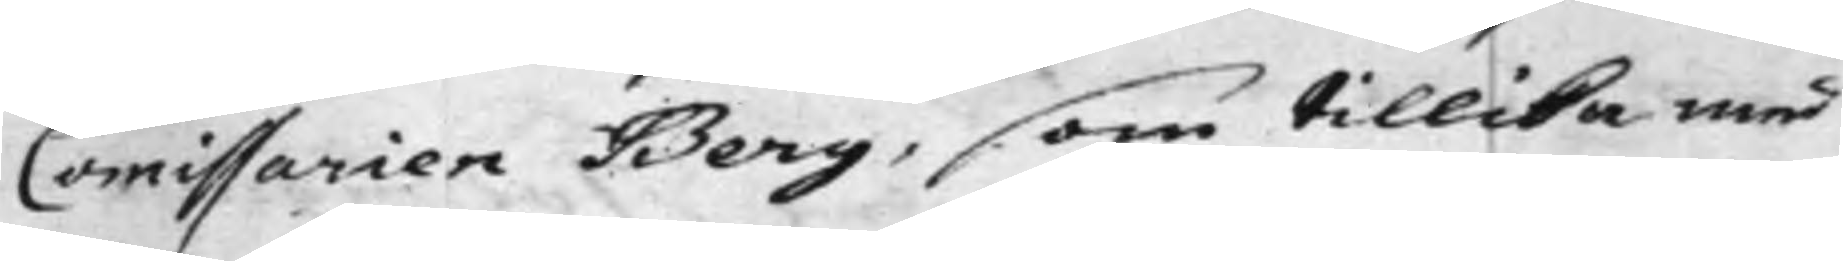Comissarien Berg, som tillika med
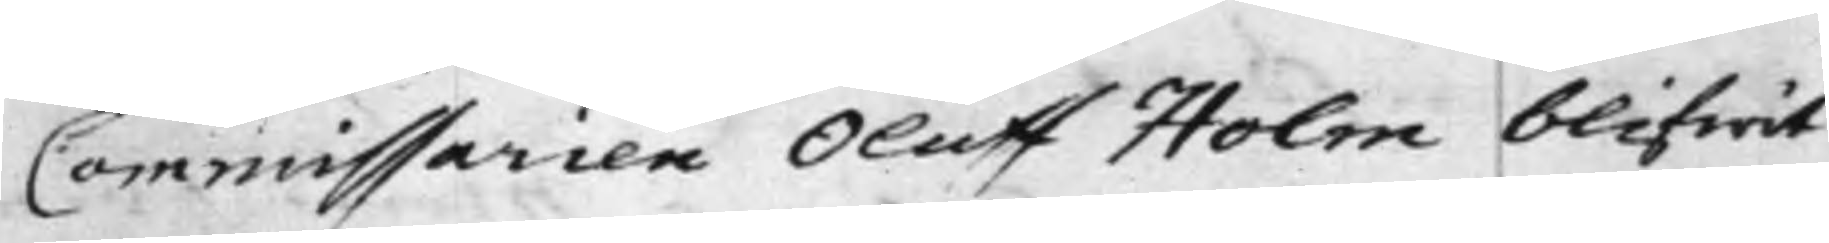Commissarien Oluff Holm blifwit
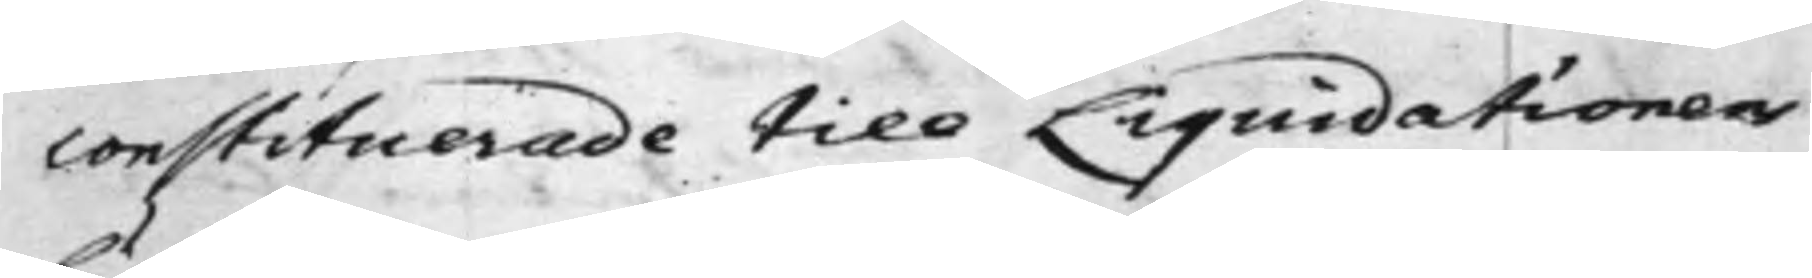constituerade till Liquidationens
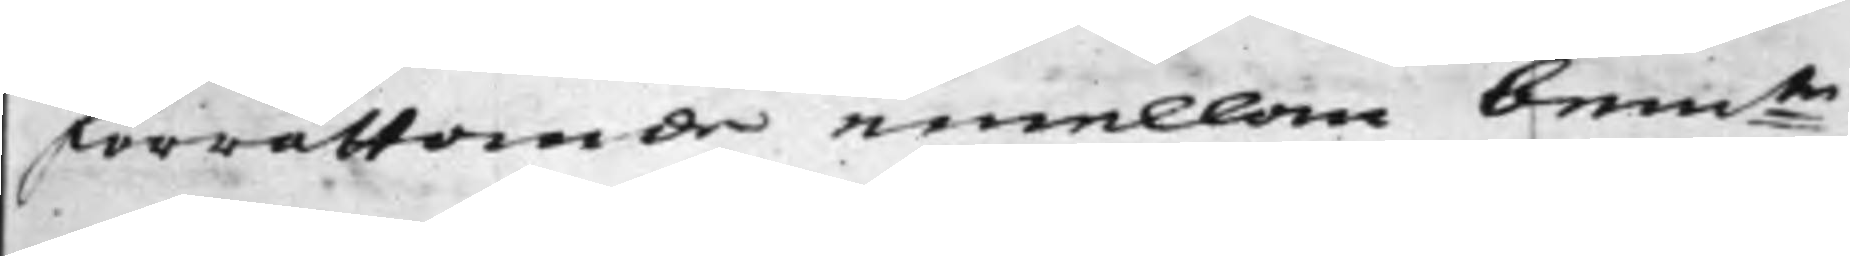förrättande emellan bem:te
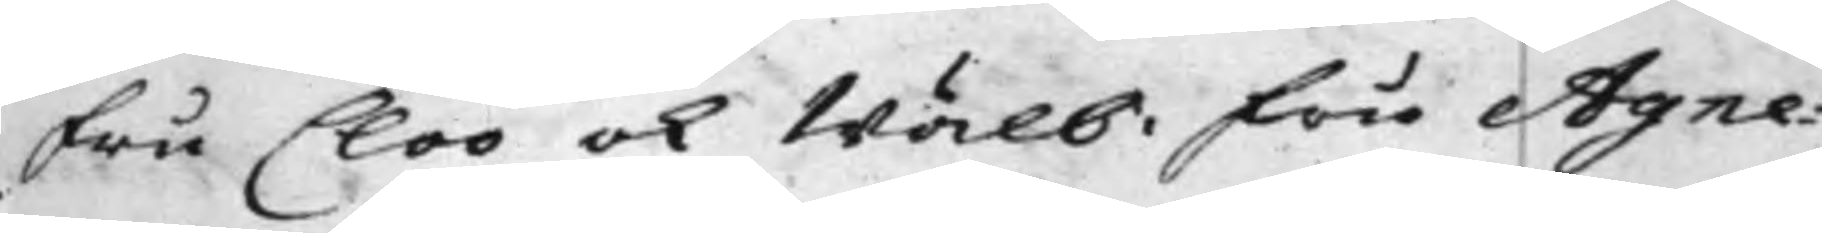Fru Cloo ok Wälb: Fru Agne¬
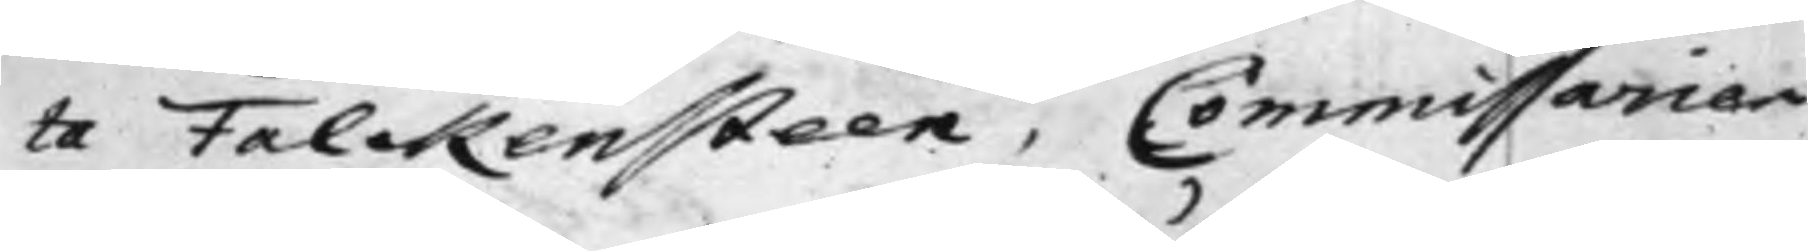ta Falckensteen, Commissarien
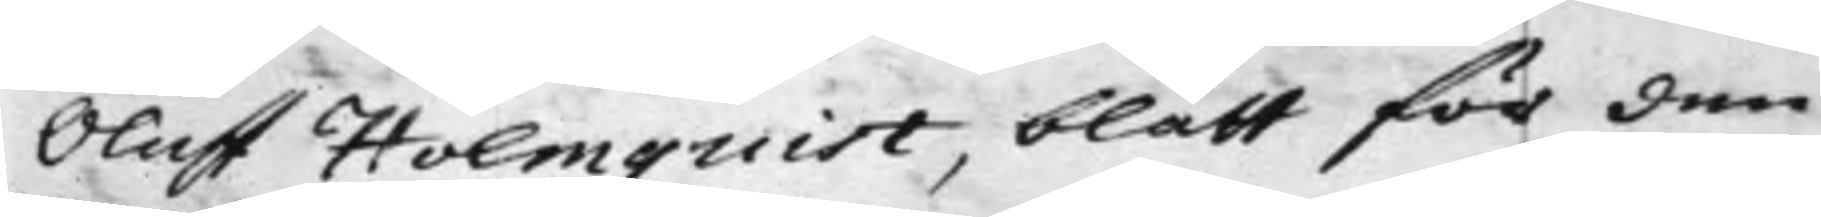Oluff Holmquist, blått för den
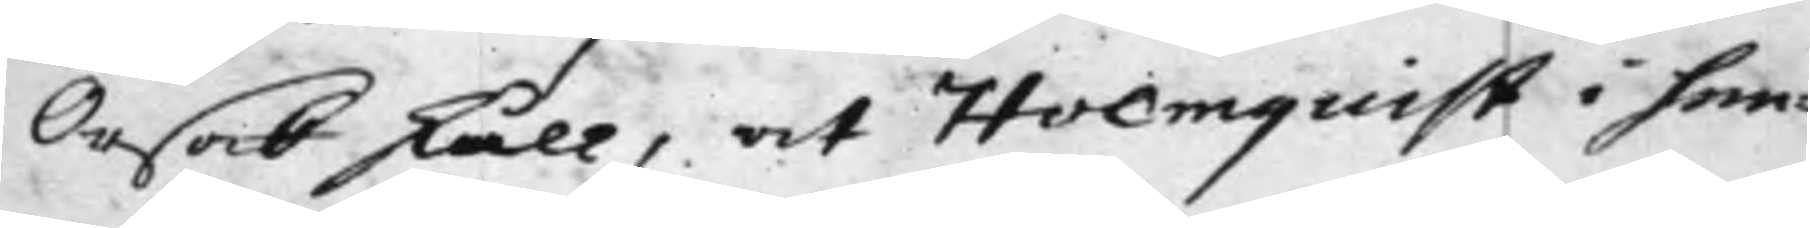Orsak skull, det Holmquist i hen¬
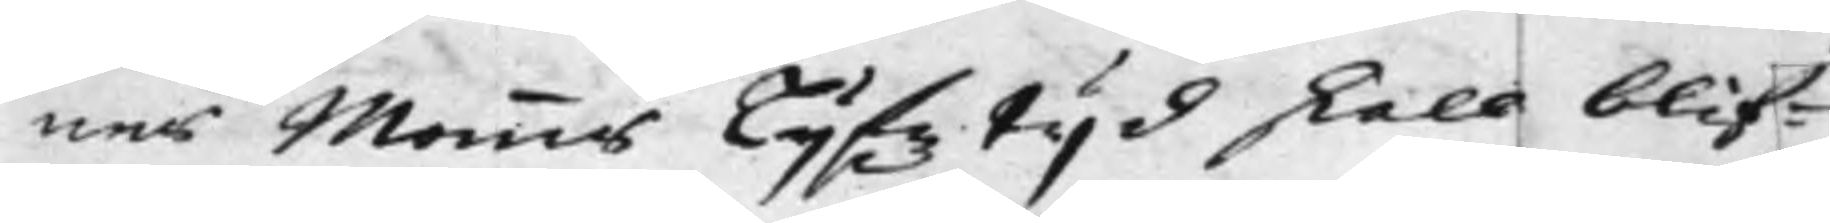nes Mannes Lijfztijd skall blif¬
